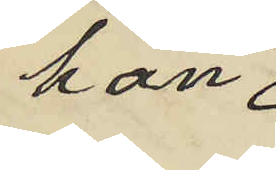han
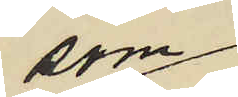som
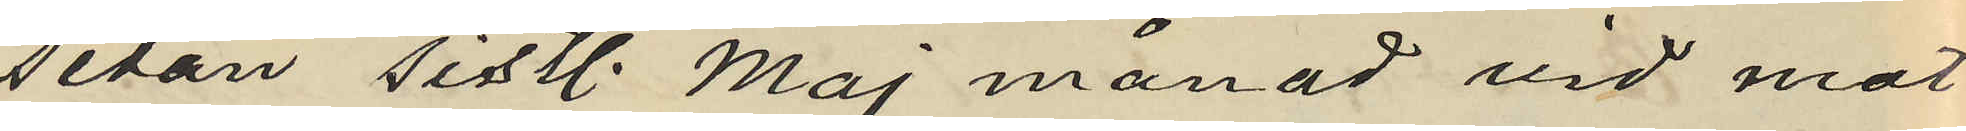sedan sistl. Maj månad vid mot
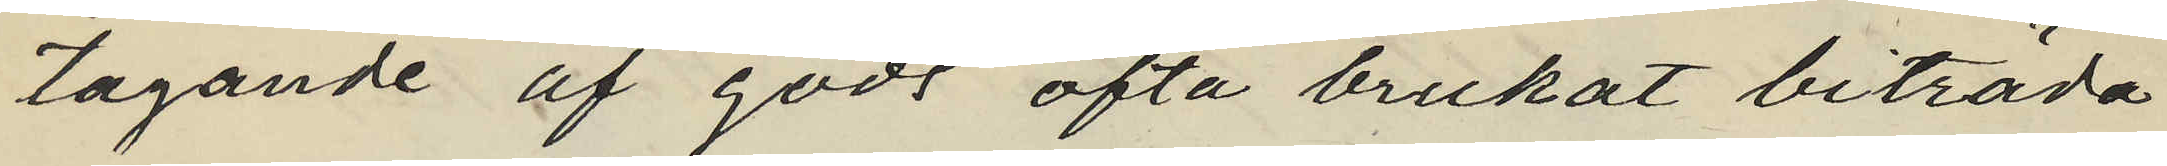tagande af gods ofta brukat biträda
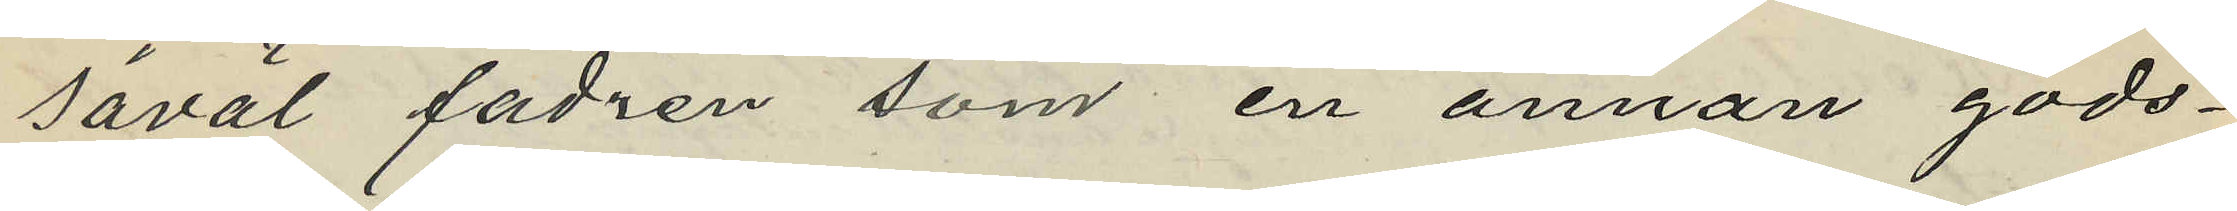såväl fadren som en annan gods¬
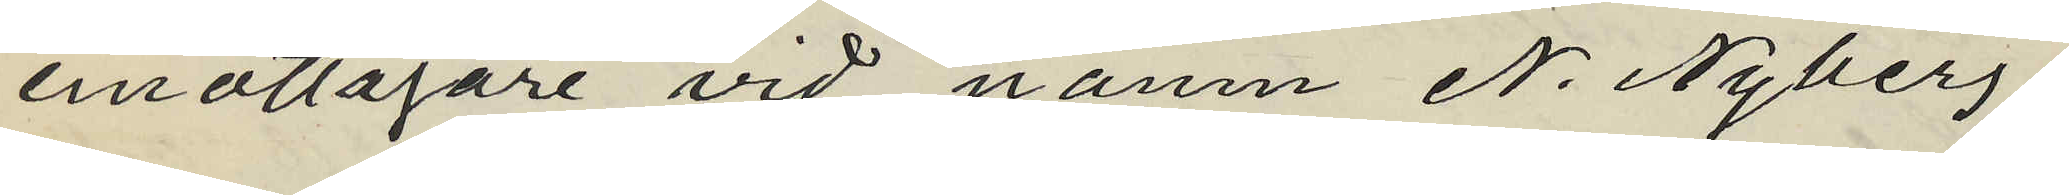emottagare vid namn N. Nyberg;
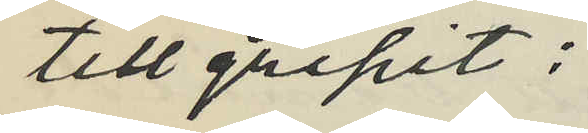tillgripit:
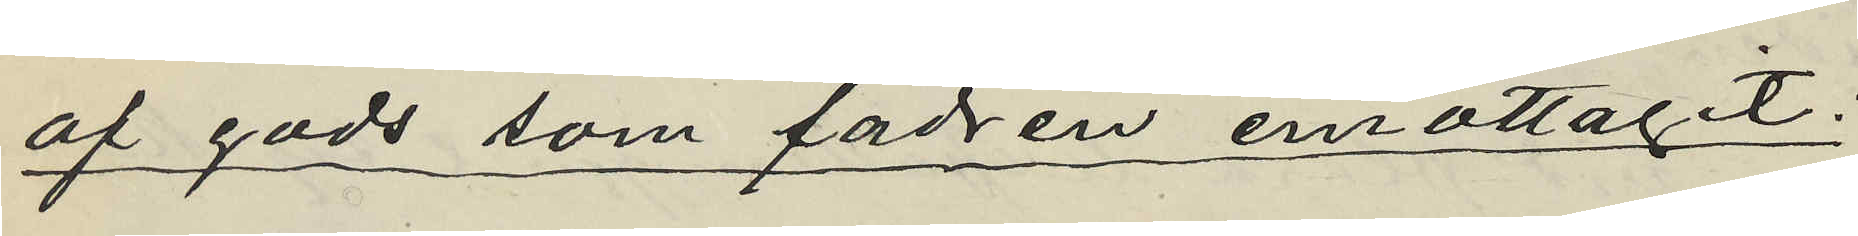af gods som fadren emottagit;
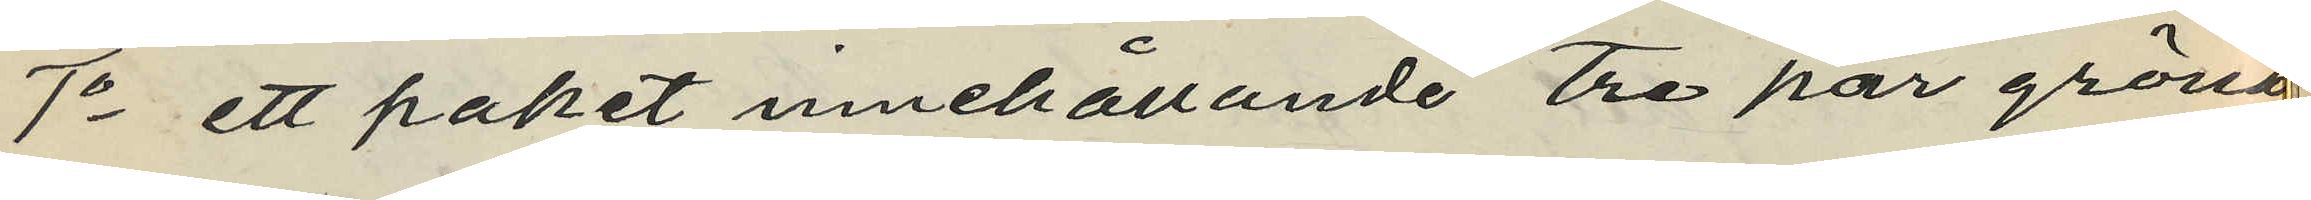1o ett paket innehållande tre par gröna
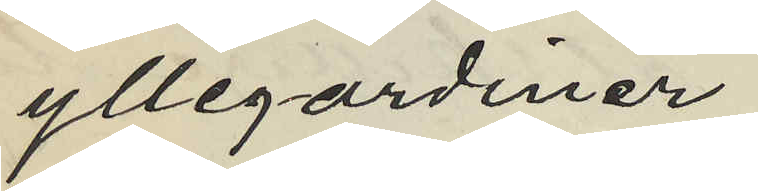yllegardiner
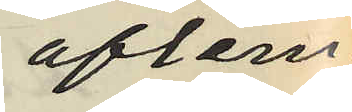aflem¬
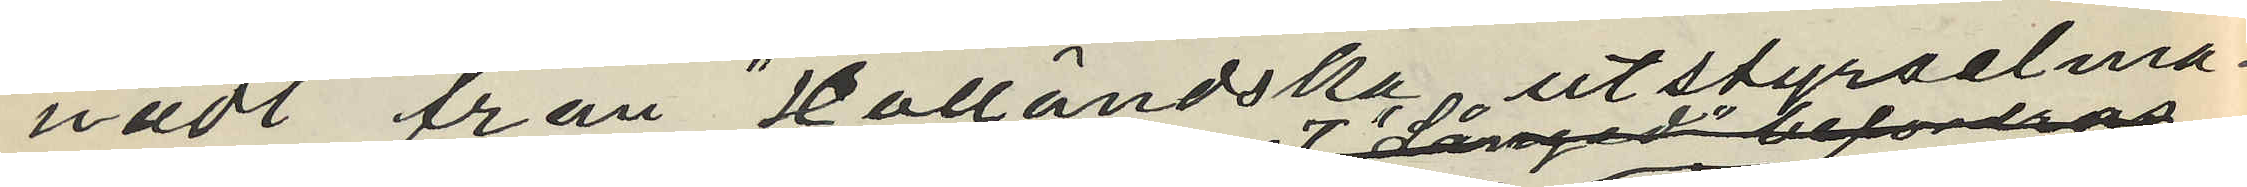nadt från "Halländska utstyrselma¬
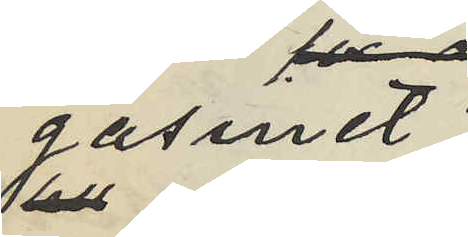gasinet"
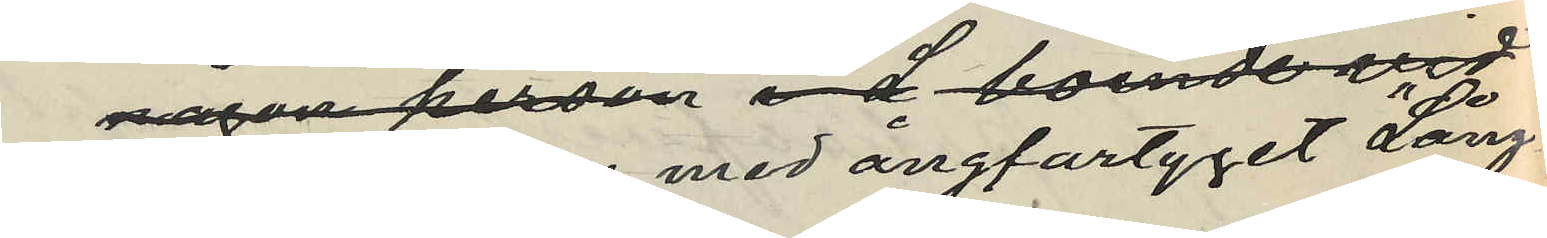någon person med ångfartyget "Långed"
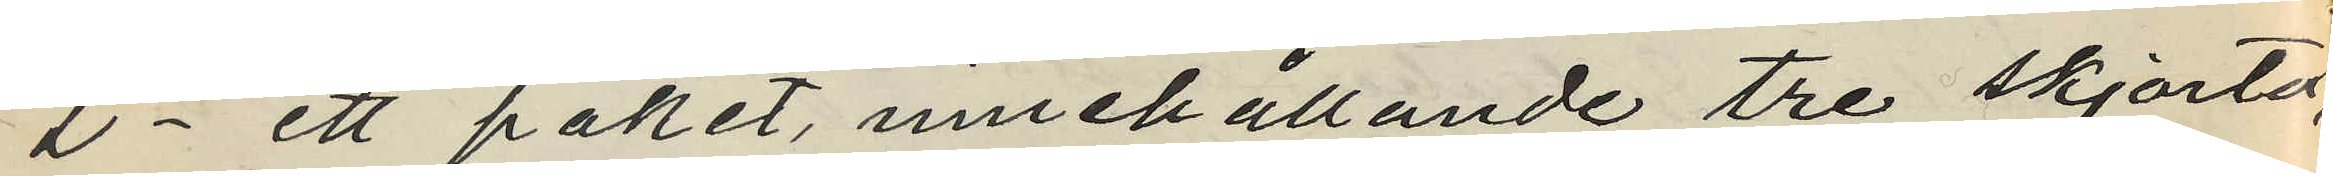2o ett paket, innehållande tre skjortor
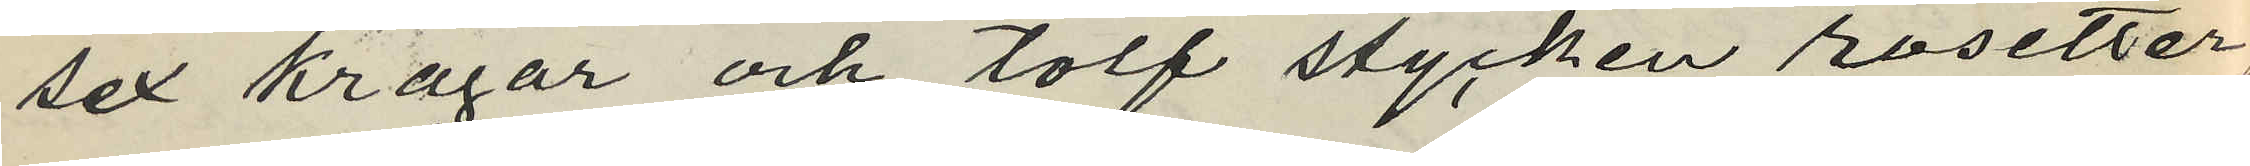sex kragar och tolf stycken rosetter
